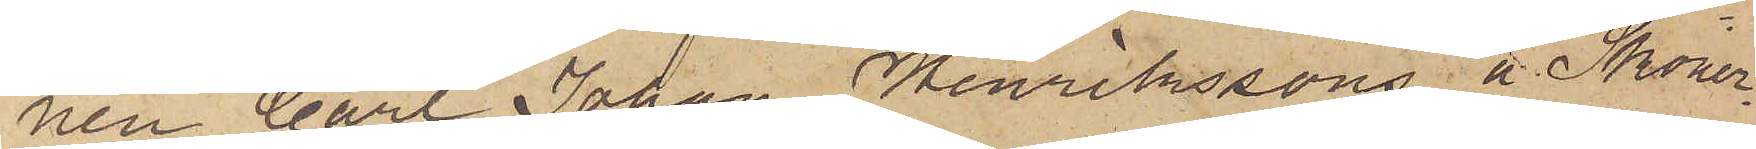nen Carl Johan Henrikssons å Skoner¬
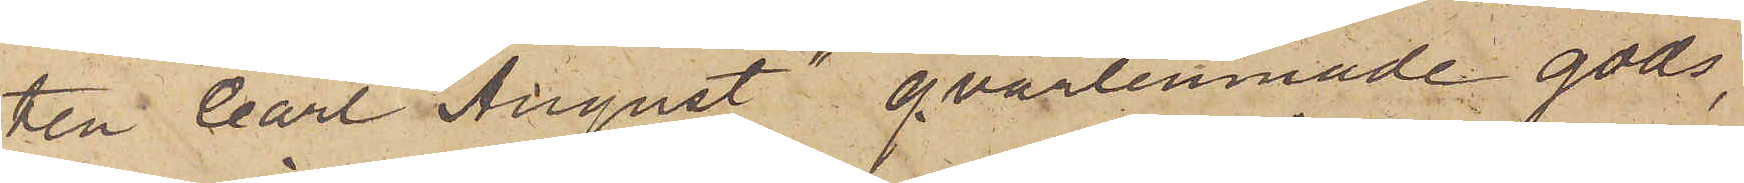ten "Carl August" qvarlemnade gods,
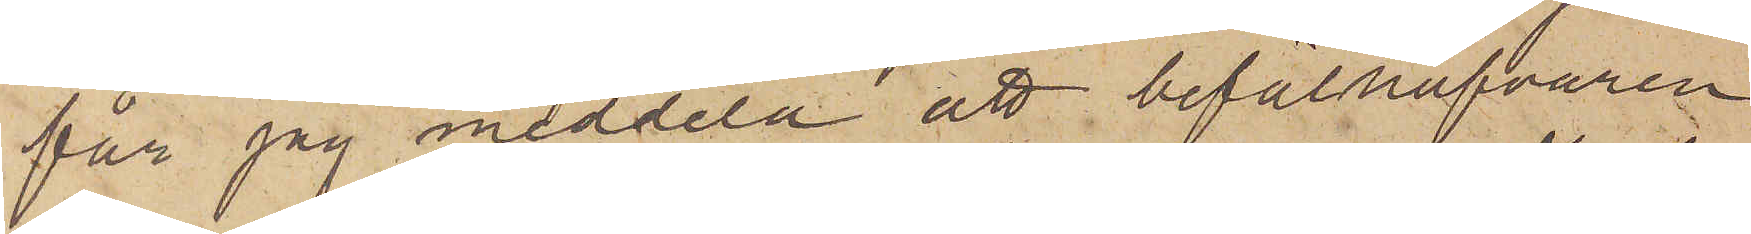får jag meddela att befälhafvaren
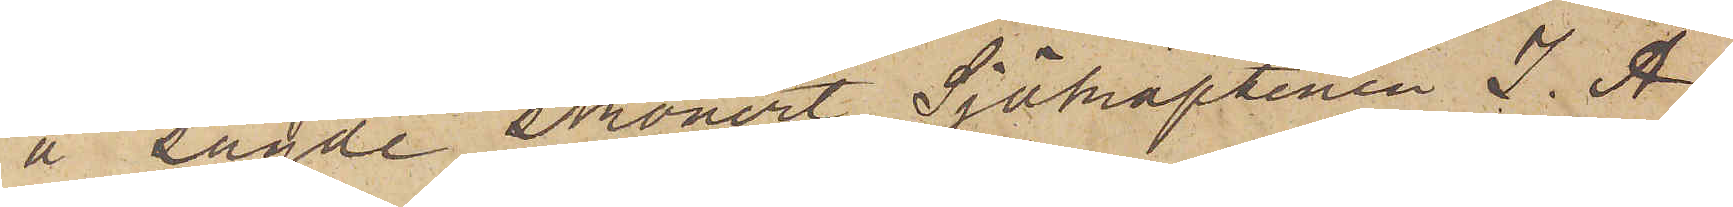å sagde skonert Sjökaptenen J. A.
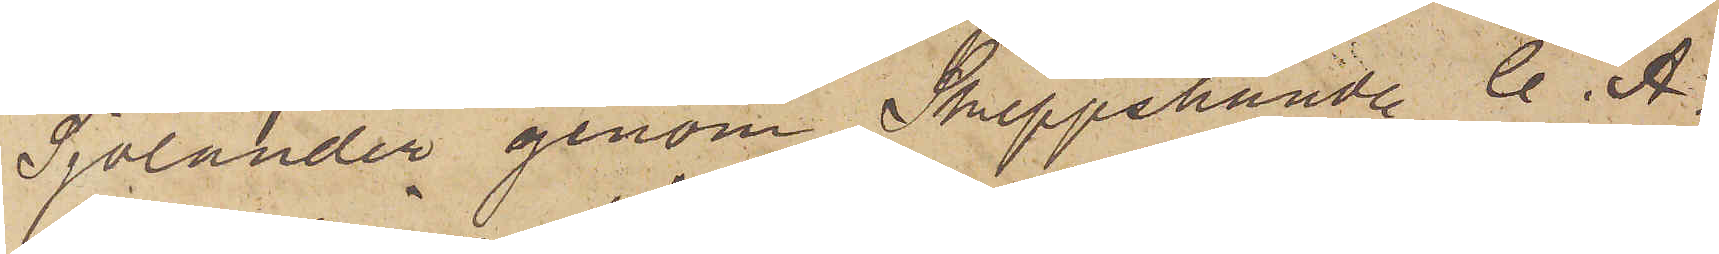Sjölander genom Skeppshandl. C. A.
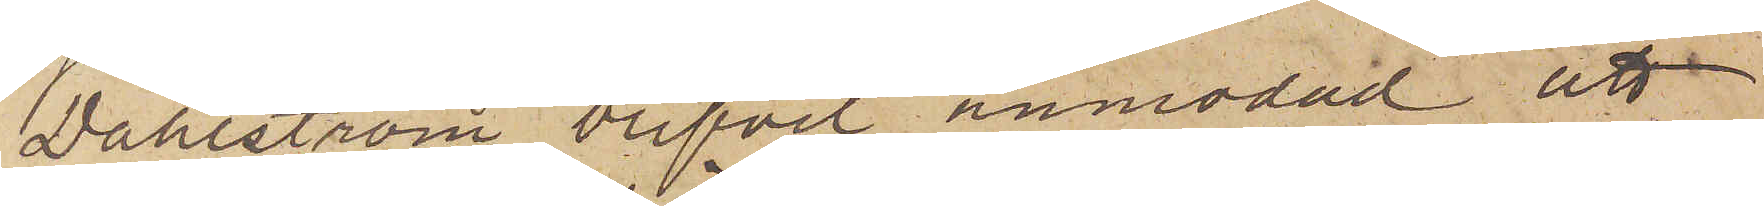Dahlström blifvit anmodad att
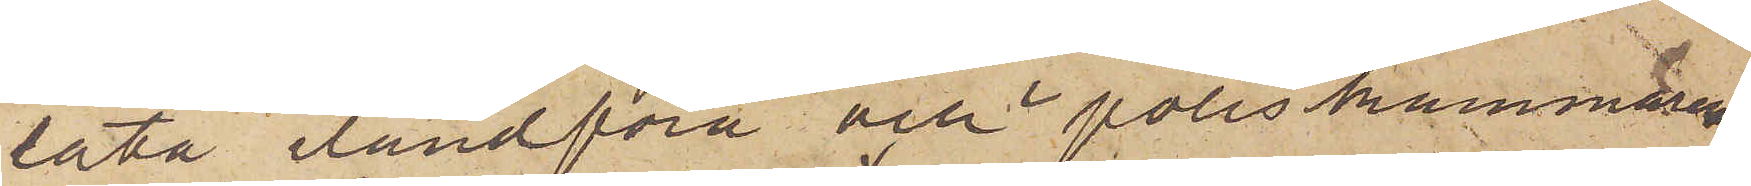låta ilandföra och i poliskammarens
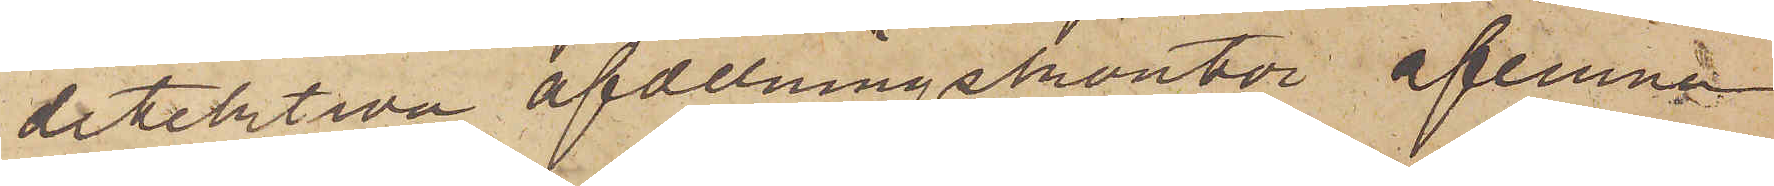detektiva afdelningskontor aflemna
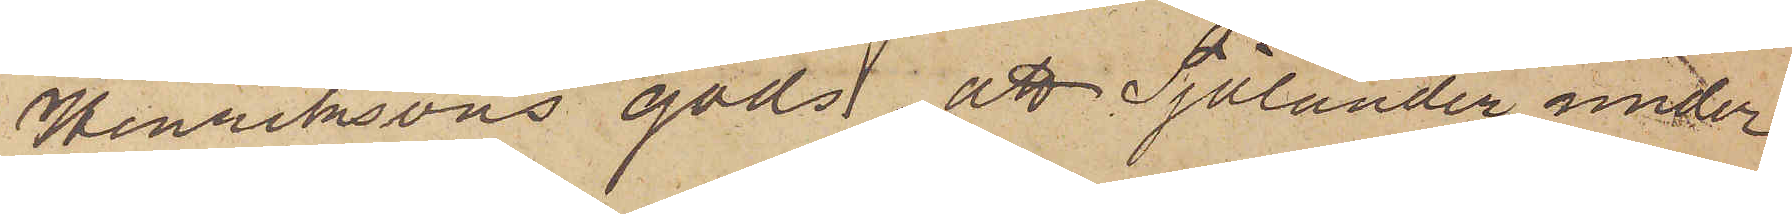Henriksons gods, att Sjölander under
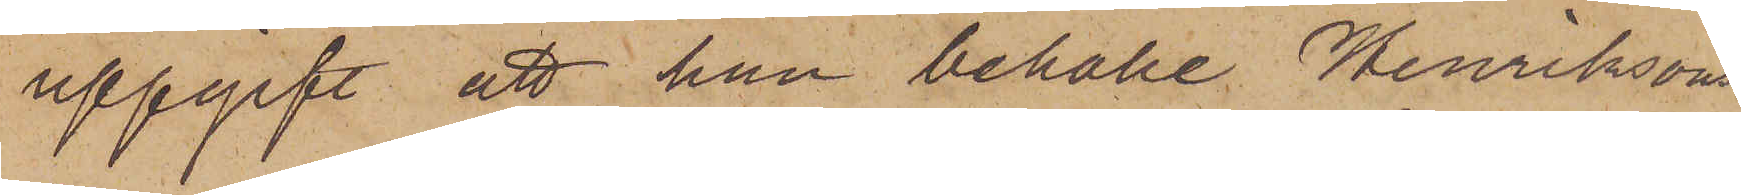uppgift att han behålle Henriksons
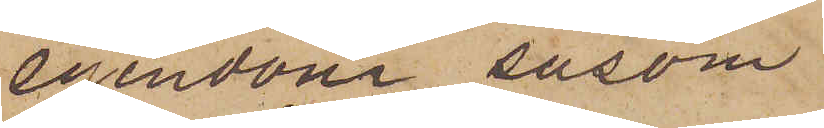egendom såsom
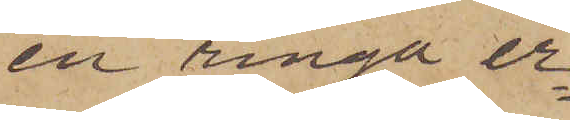en ringa er¬
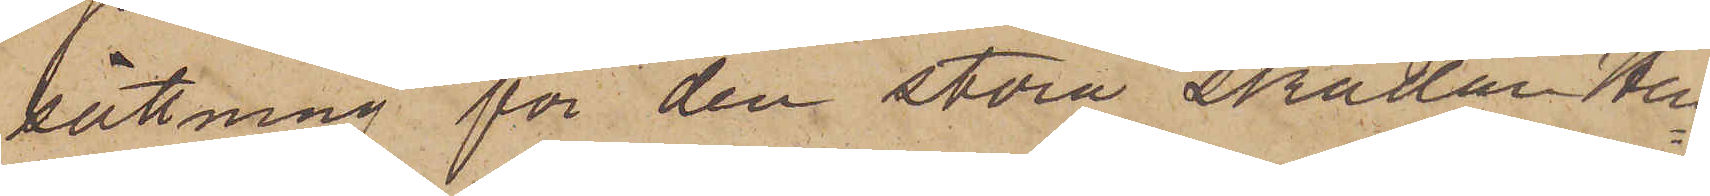sättning för den stora skadan Hen¬
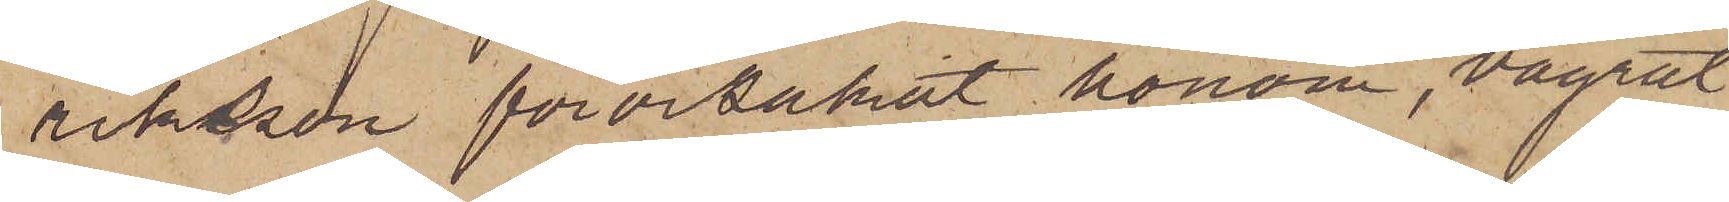riksson förorsakat honom, vägrat
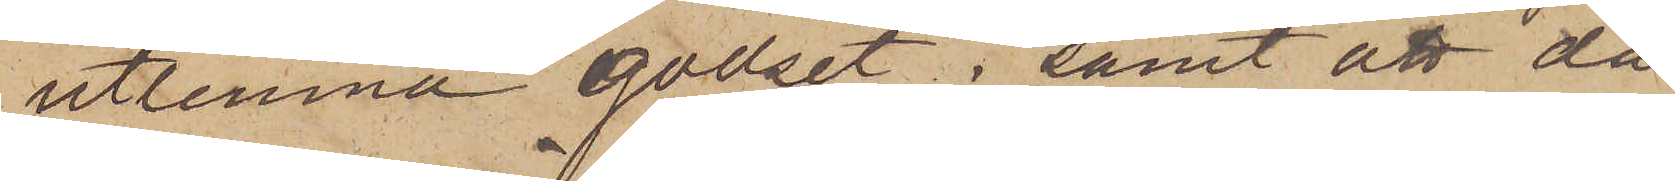utlemna godset; samt att då
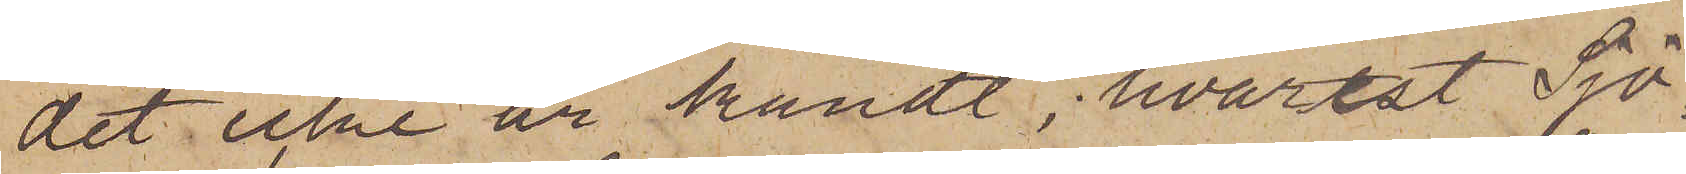det icke är kändt, hvarest Sjö¬
